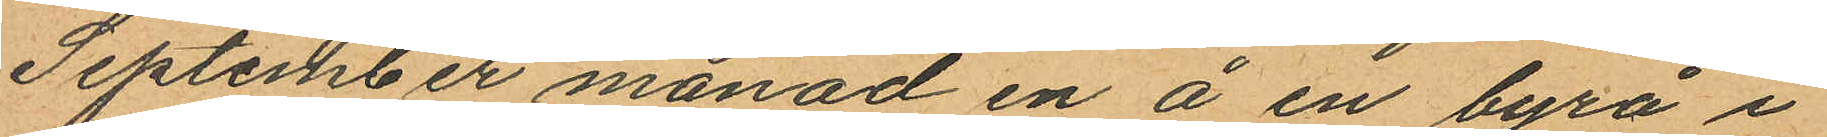September månad en å en byrå i
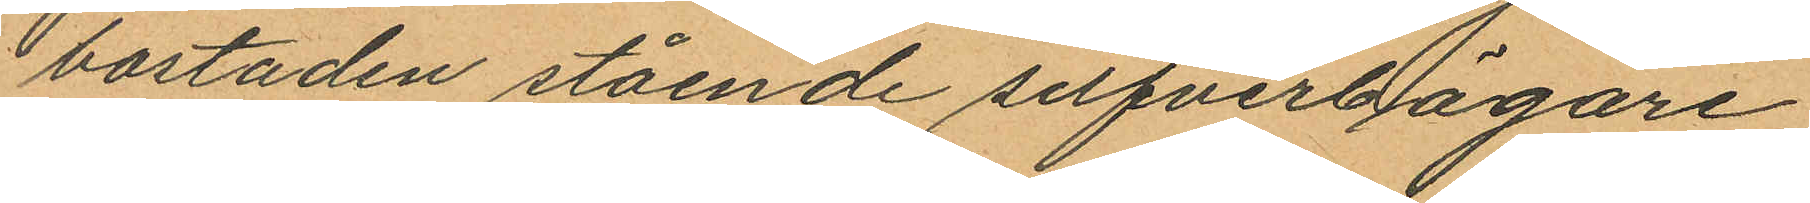bostaden stående silfverbägare
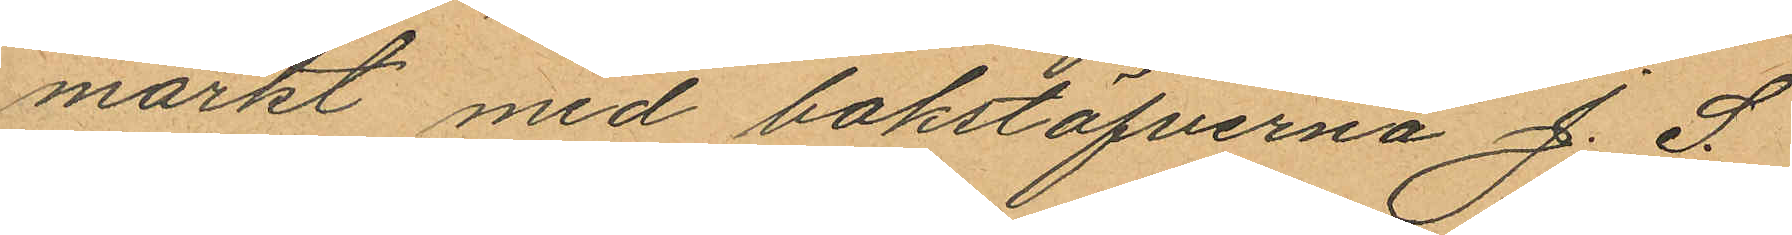märkt med bokstafverna "J. S."
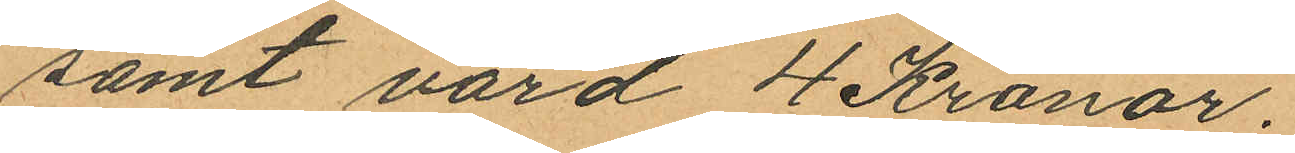samt värd 4 Kronor.
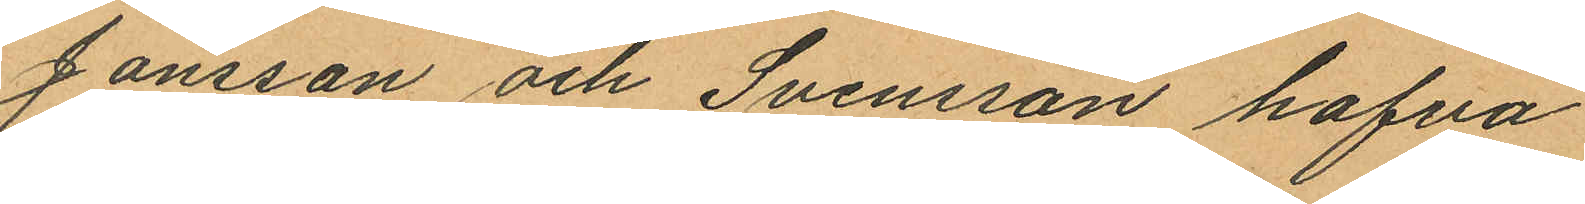Jönsson och Svensson hafva
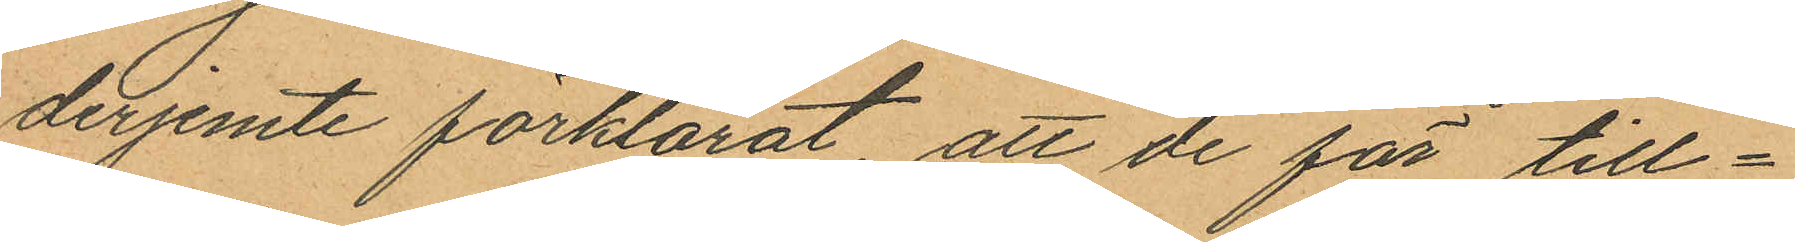derjemte förklarat att de för till¬
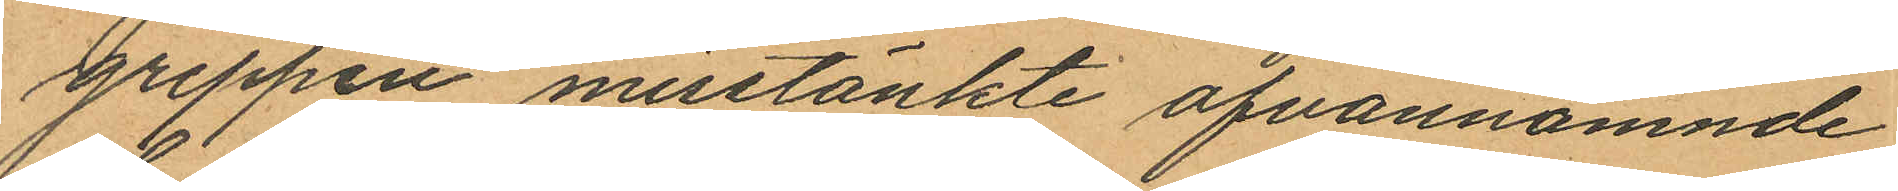greppen misstänkte ofvannämnde
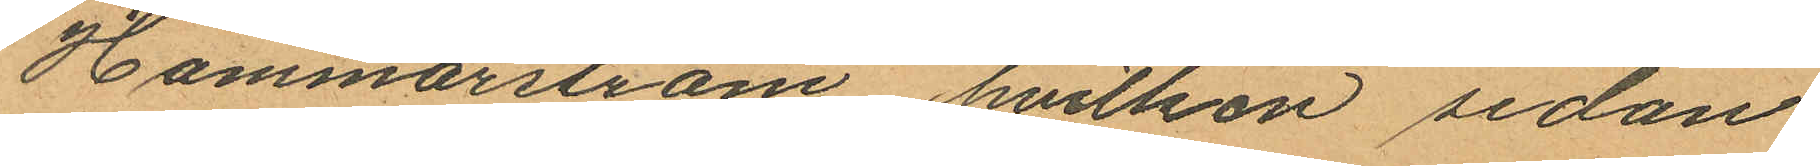Hammarström hvilken sedan
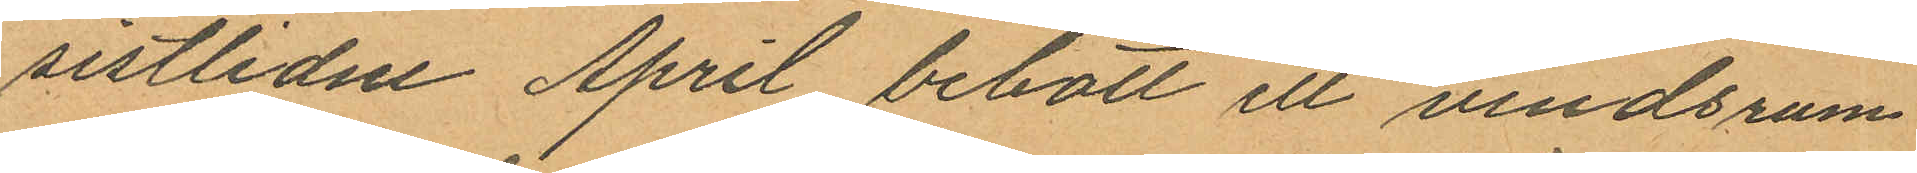sistlidne April bebott ett vindsrum
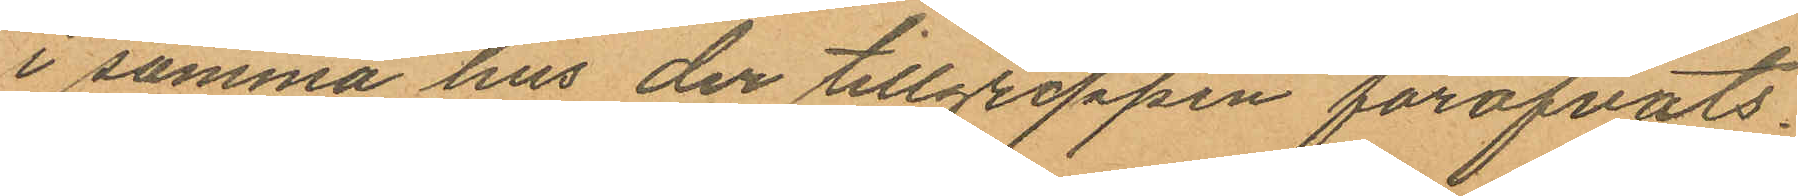i samma hus der tillgreppen föröfvats.
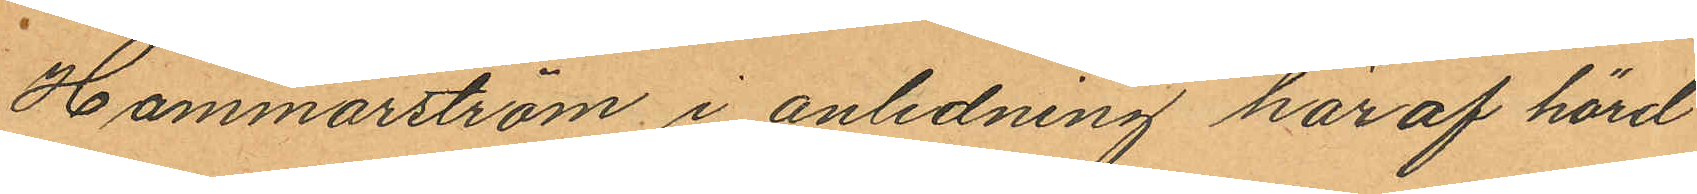Hammarström i anledning har af hörd
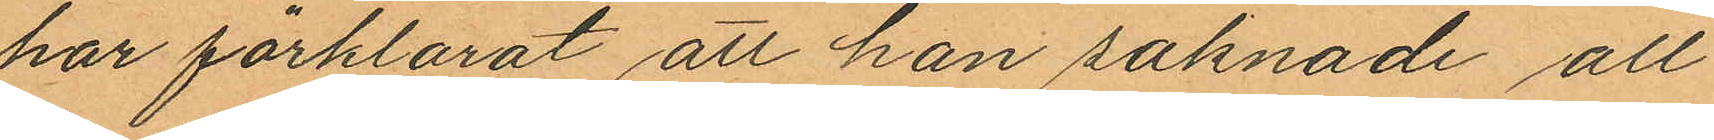har förklarat att han saknade all
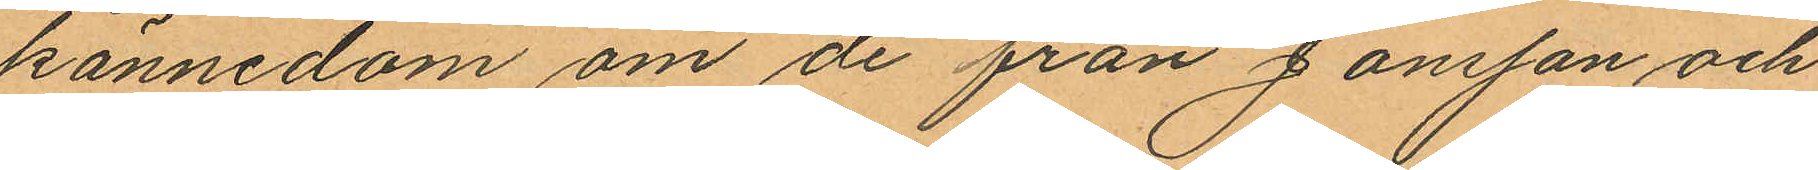kännedom om de från Jonsson och
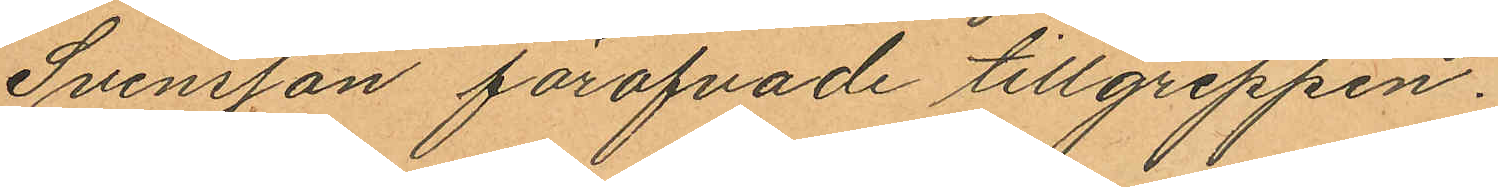Svensson föröfvade tillgreppen.
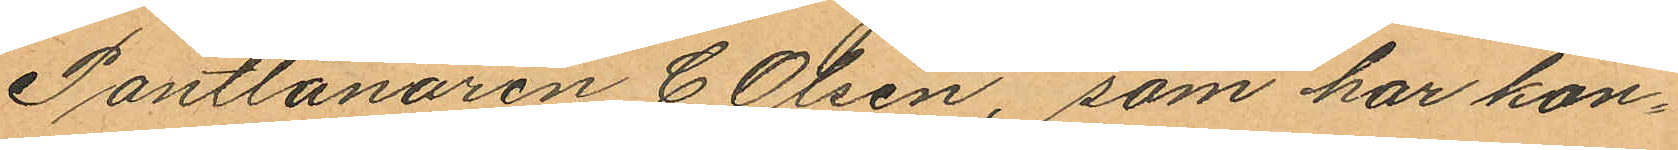Pantlånaren C. Olsen, som har kon¬
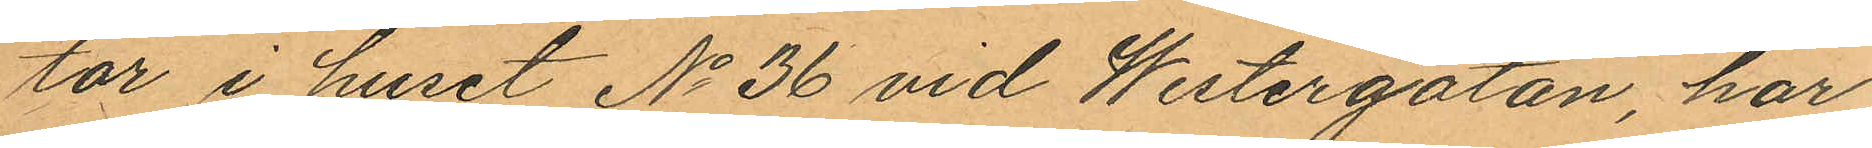tor i huset No 36 vid Westergatan, har
